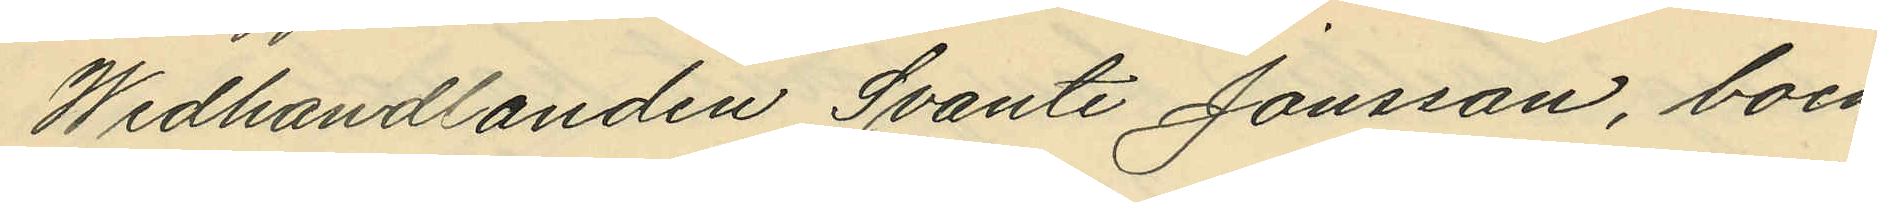Wedhandlanden Svante Jonsson, boen¬
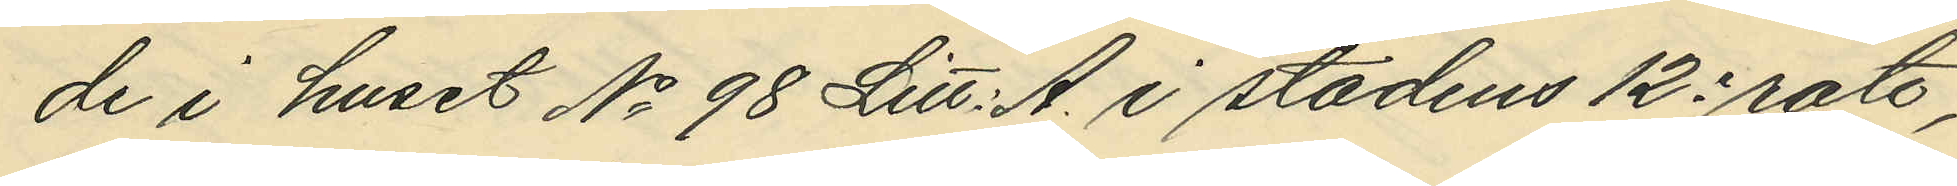de i huset No 98 Litt. A. i stadens 12e rote,
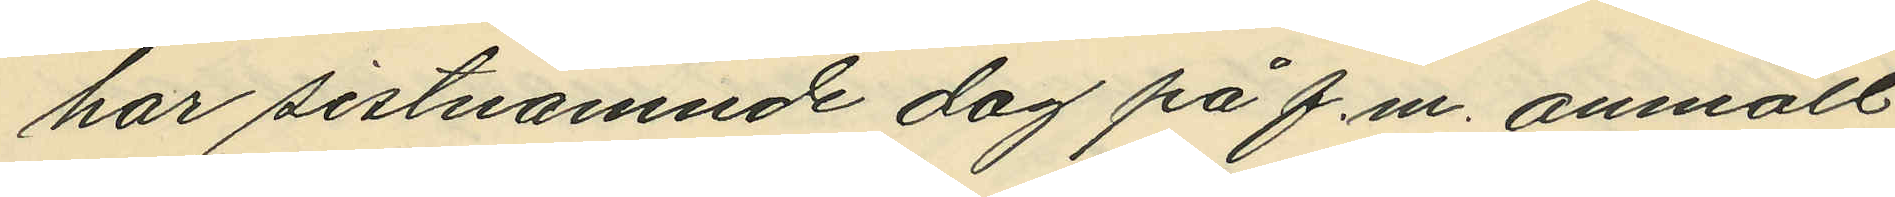har sistnämnde dag på f.m. anmält
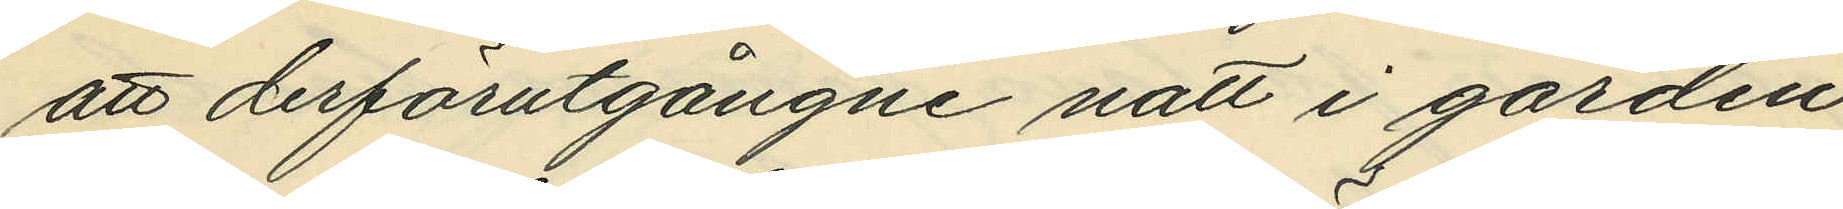att derförutgångne natt i gården
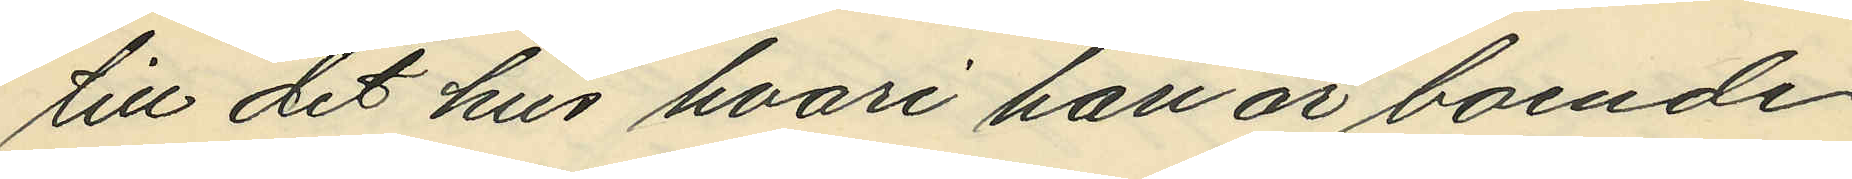till det hus hvari han är boende,
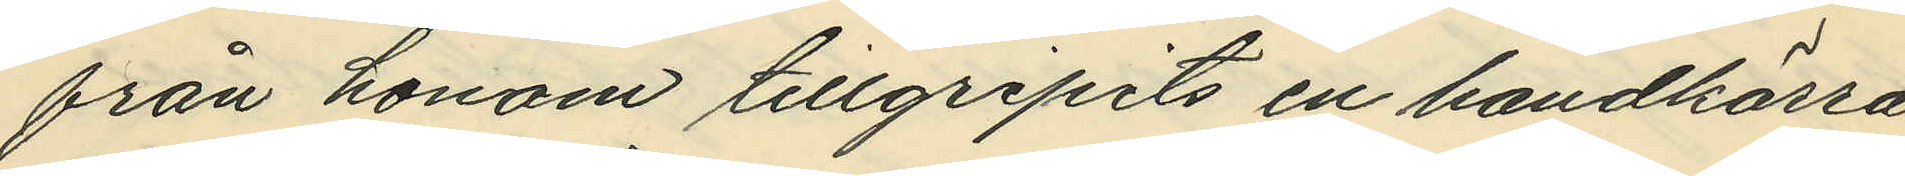från honom tillgripits en handkärra
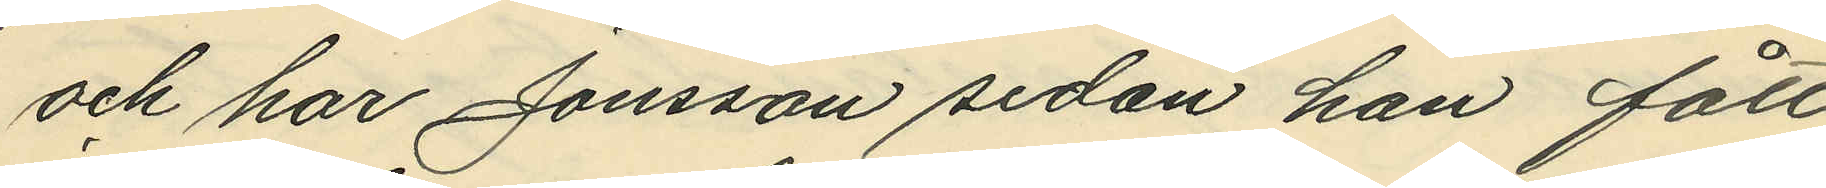och har Jonsson sedan han fått
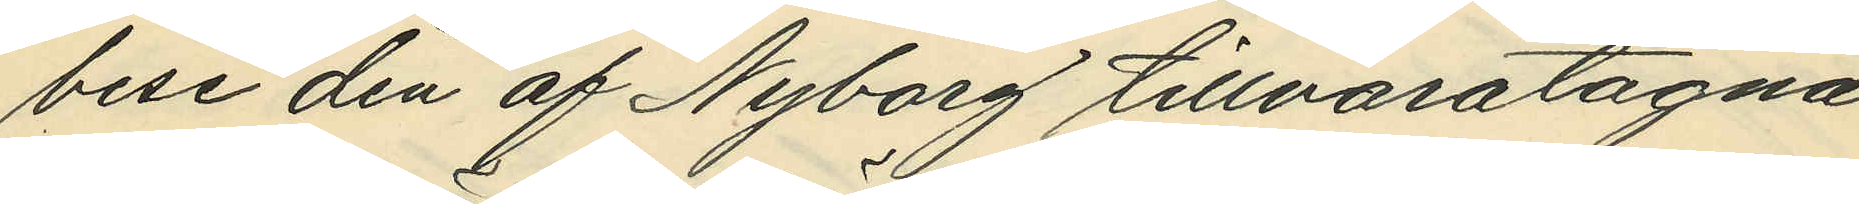bese den af Nyborg tillvaratagna
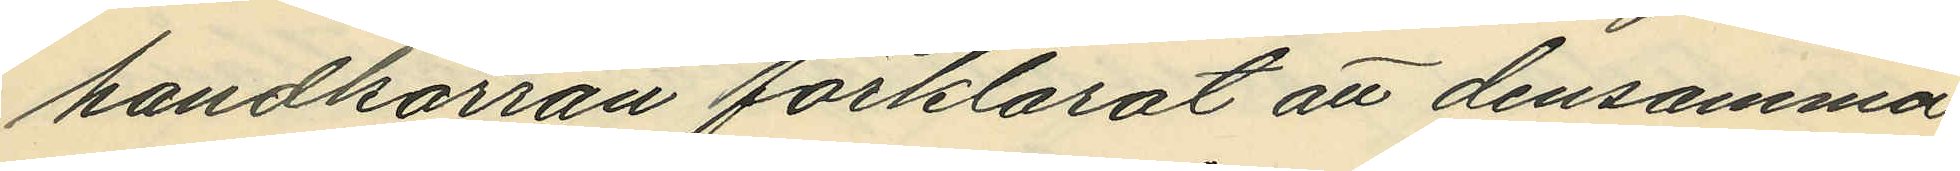handkärran förklarat att densamma
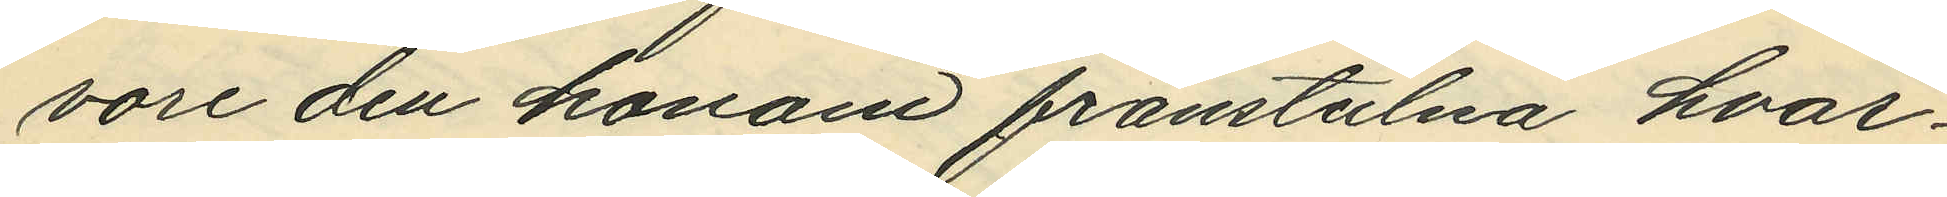vore den honom frånstulna hvar¬
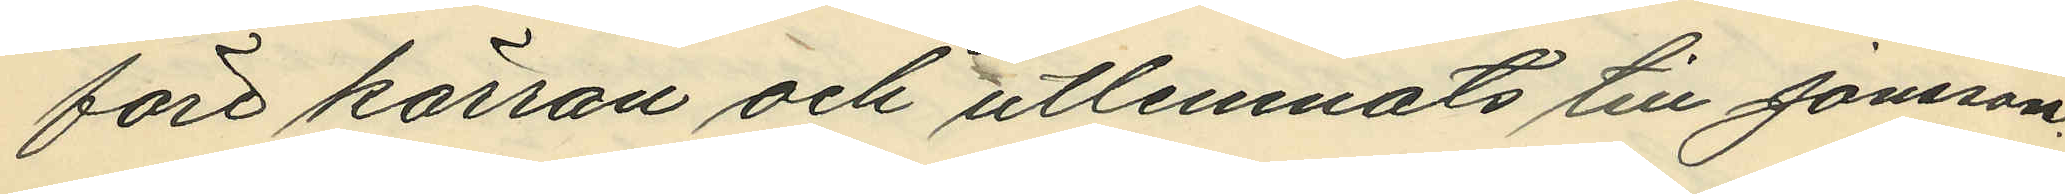före kärran och utlemnats till Jonsson.
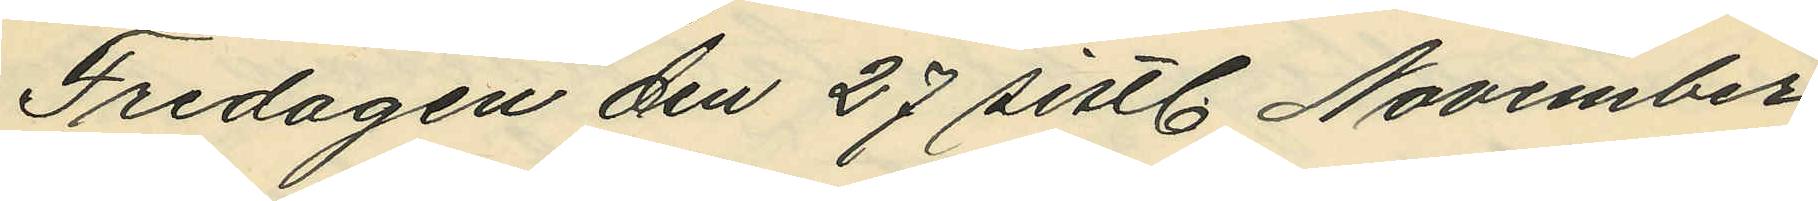Fredagen den 27 sistl. November
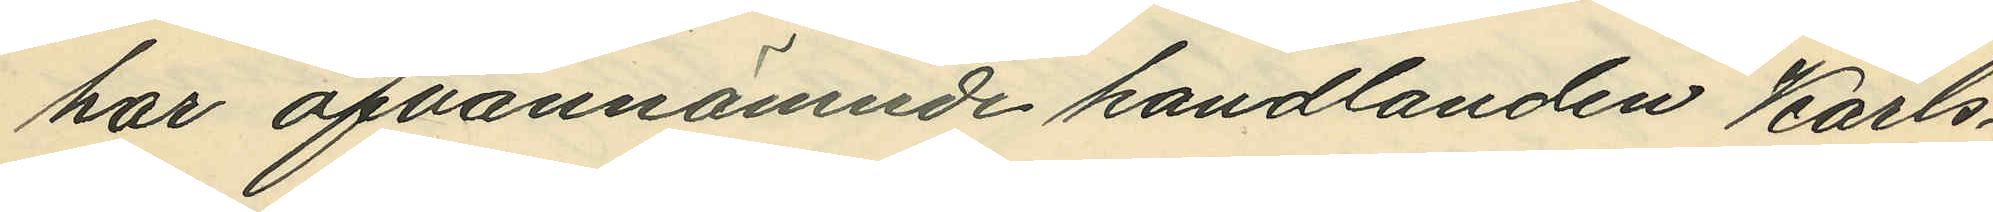har ofvannämnde handlanden Karls¬
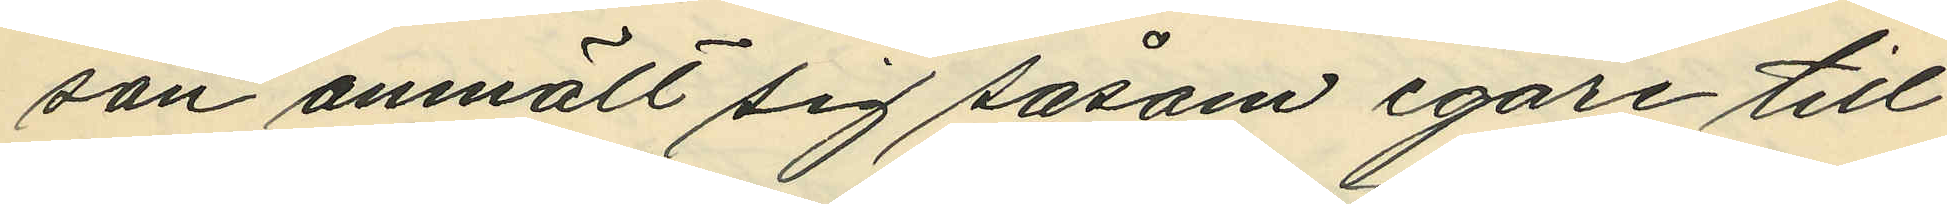son anmält sig såsom egare till
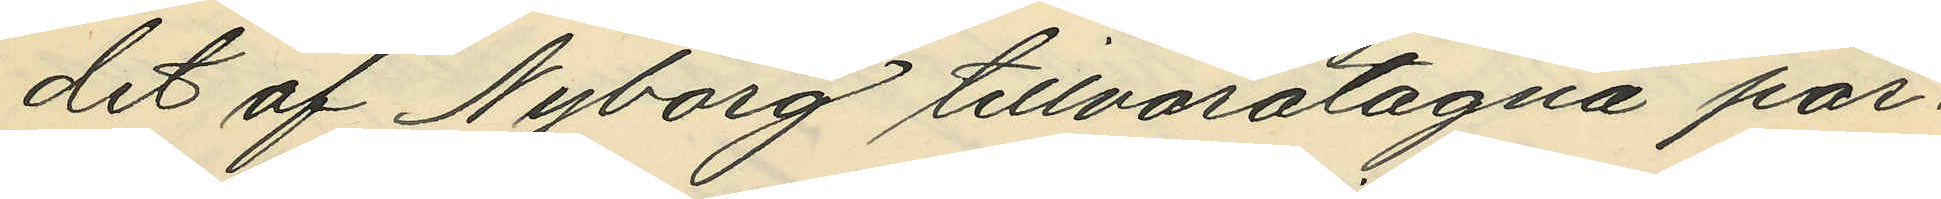det af Nyborg tillvaratagna par¬
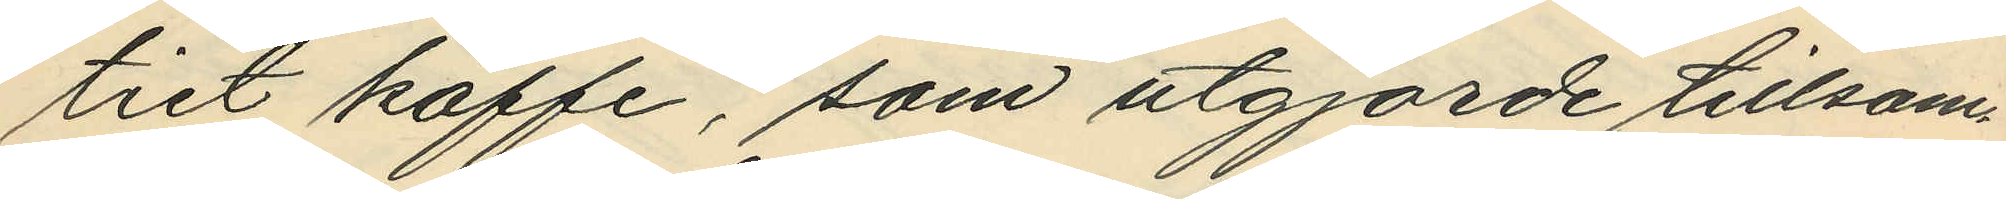tiet kaffe, som utgjorde tillsam¬
